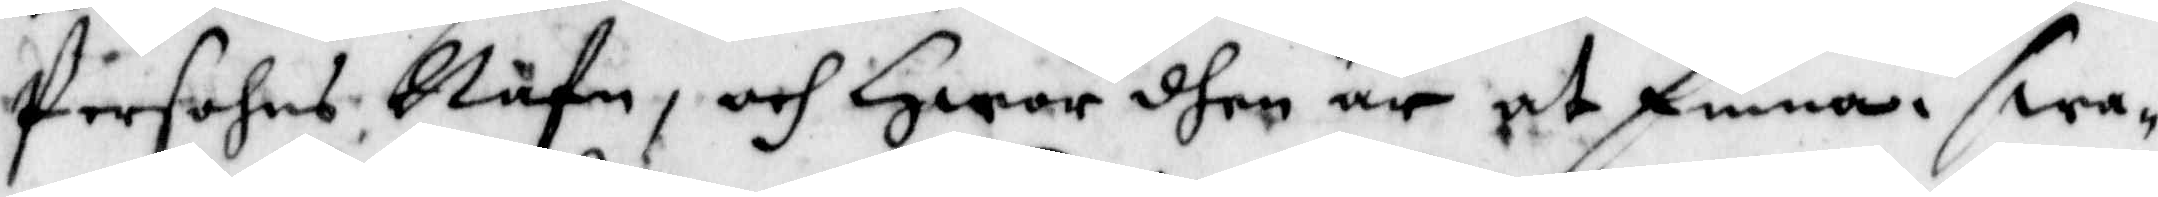Persohns Nafn, och Hwar dhen är at finna. swa¬
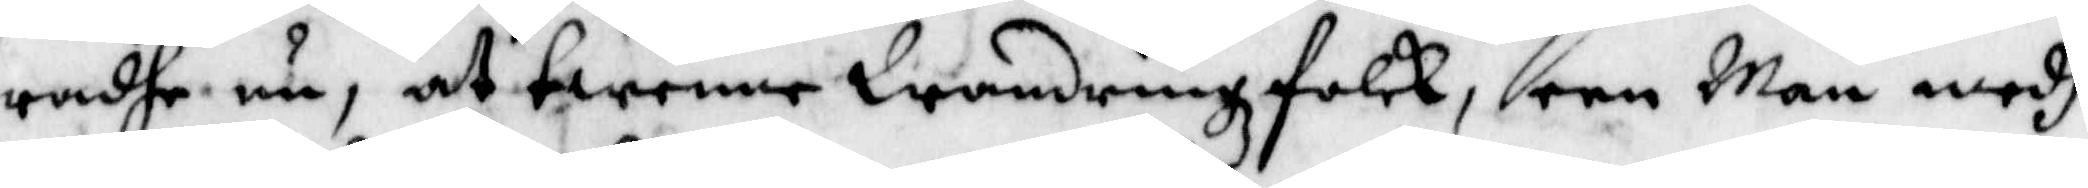radhe nu, at twenne WandrinzFolck, een Man medh
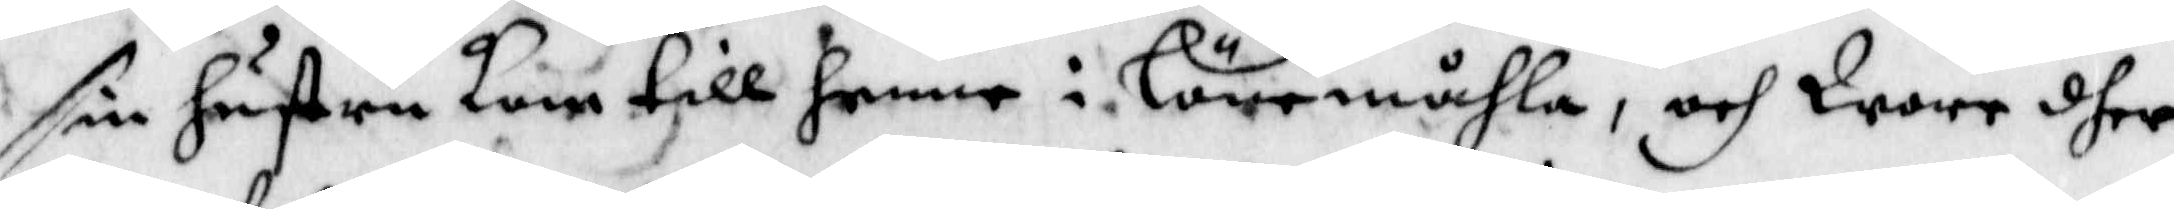sin hustru kom till henne i Lönemåhla, och Wore dher
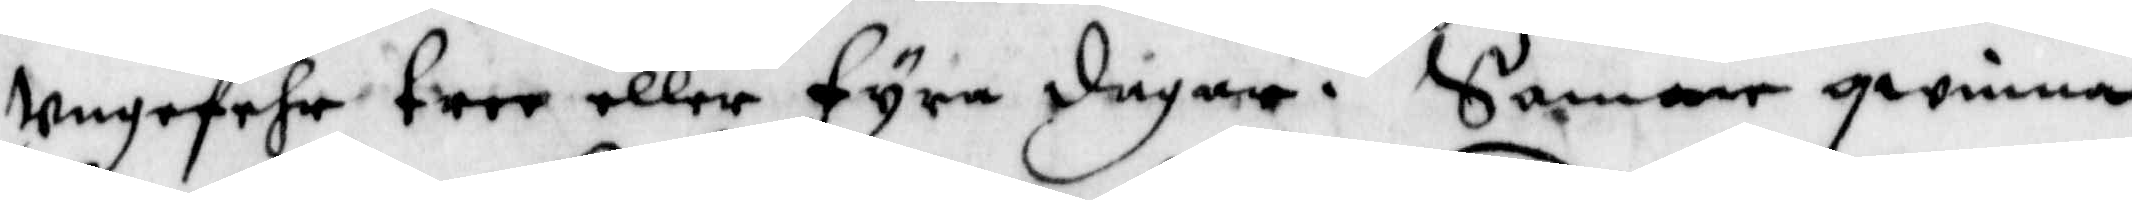Ungefehr tree eller fyra dagar. Samme qwinna
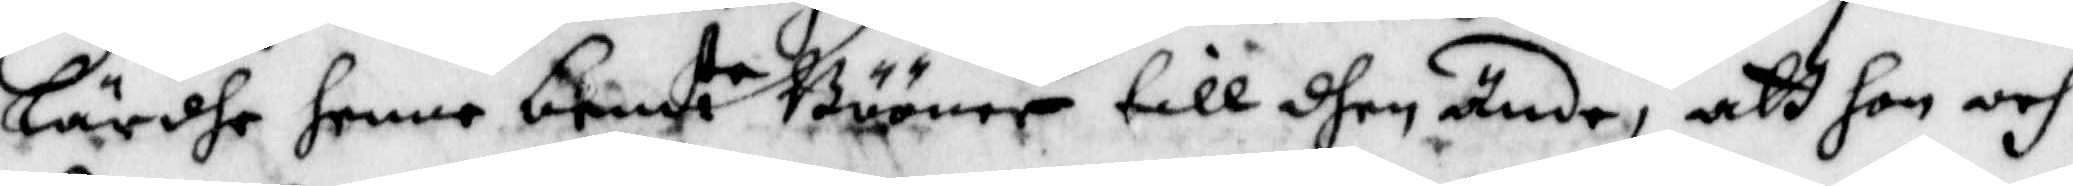Lärdhe henne bem.te Bööner till dhen ände, att hon och
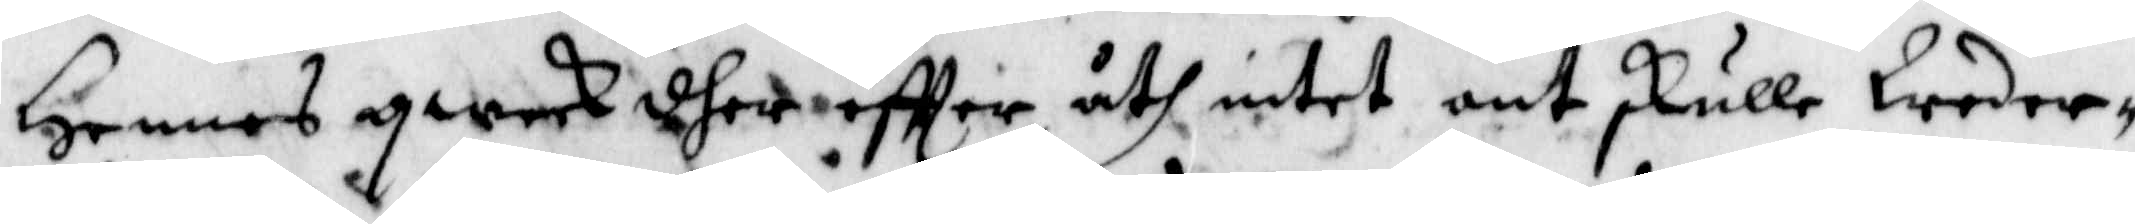Hennes qweck dher eftter åth intet ont skulle Weder¬
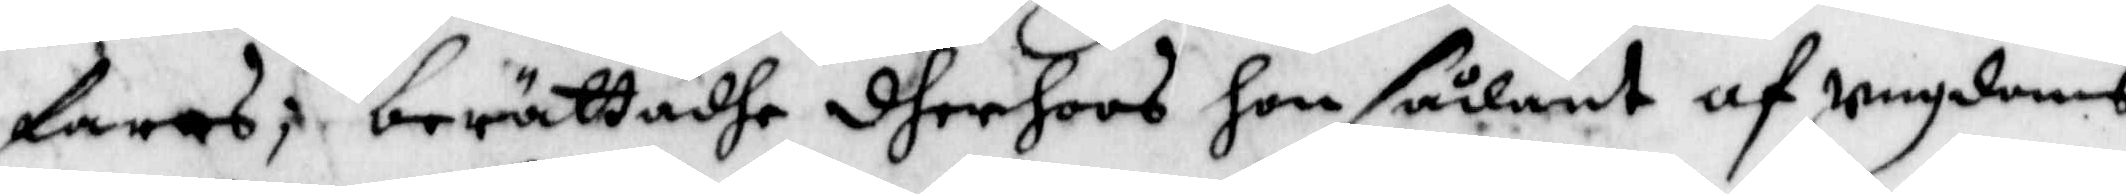faras; berättadhe dherhoos hon sådant af Ungdoms
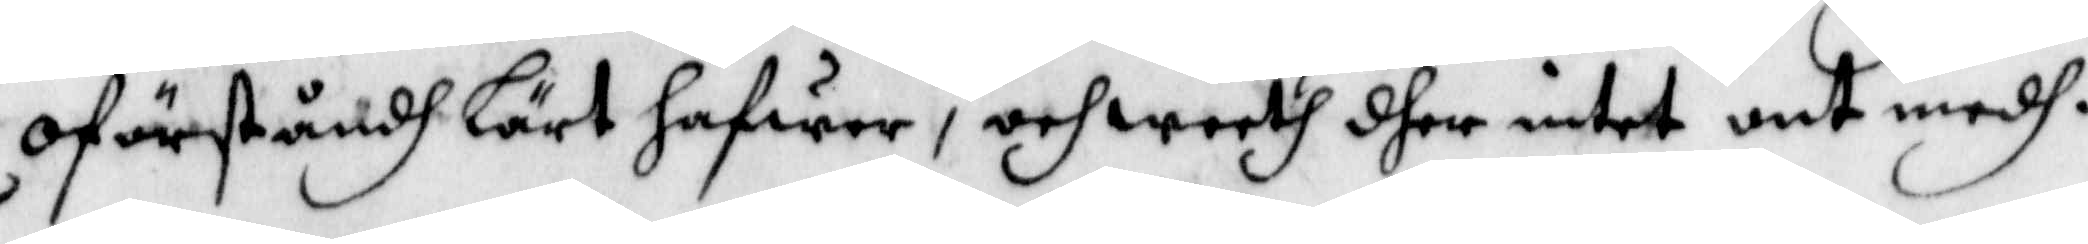oförståndh lärt hafwer, och weeth dher intet ont medh.
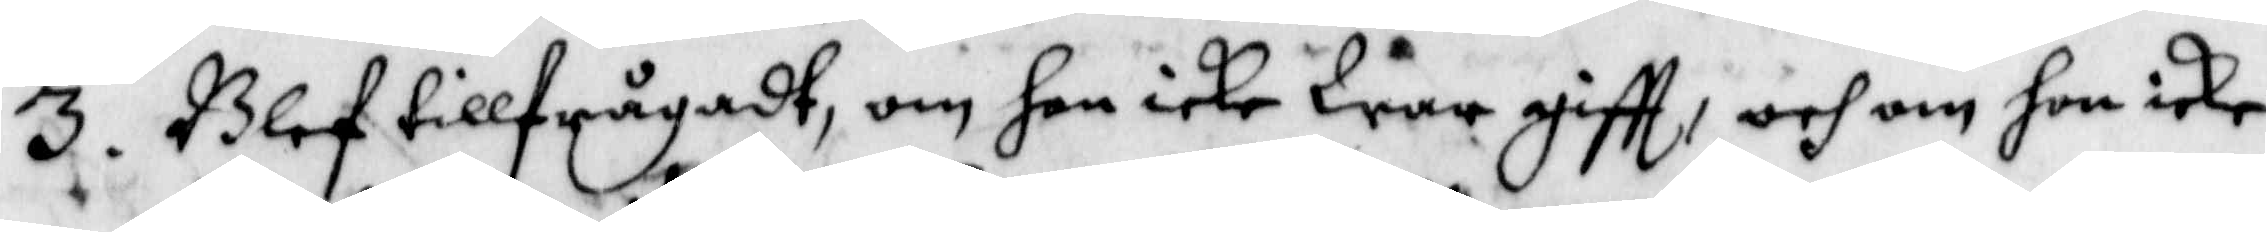3. Blef tillfrågadt, om hon icke War gifft, och om hon icke
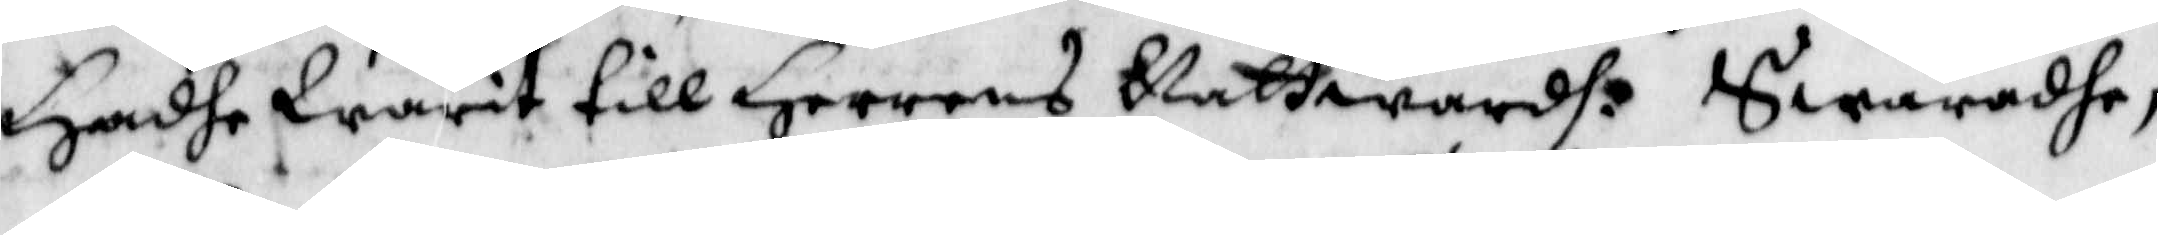Hadhe Warit till Hennes Nattwardh: Swaradhe,
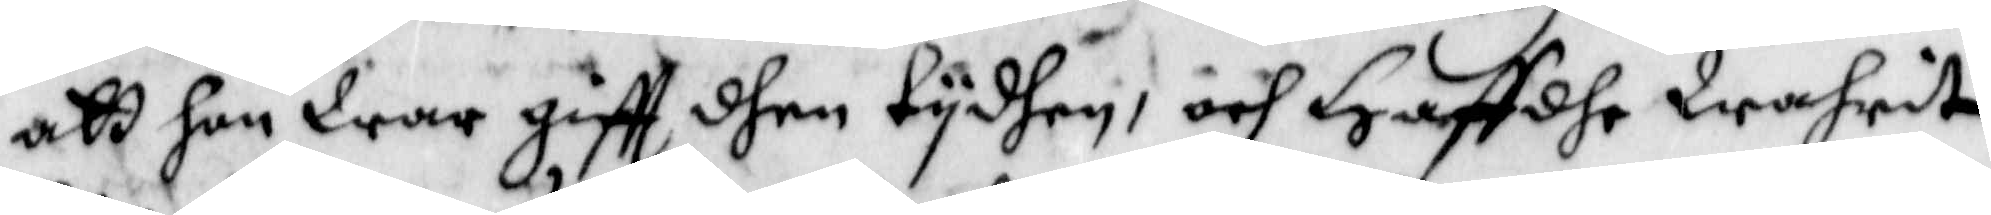att hon War gifft dhen tydhen, och Haffdhe Wahrit
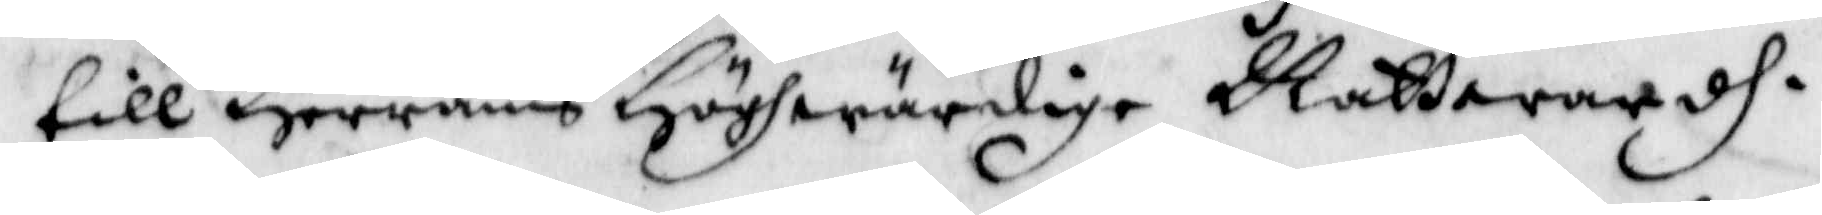till Herrans Höghwärdige Nattwardh.
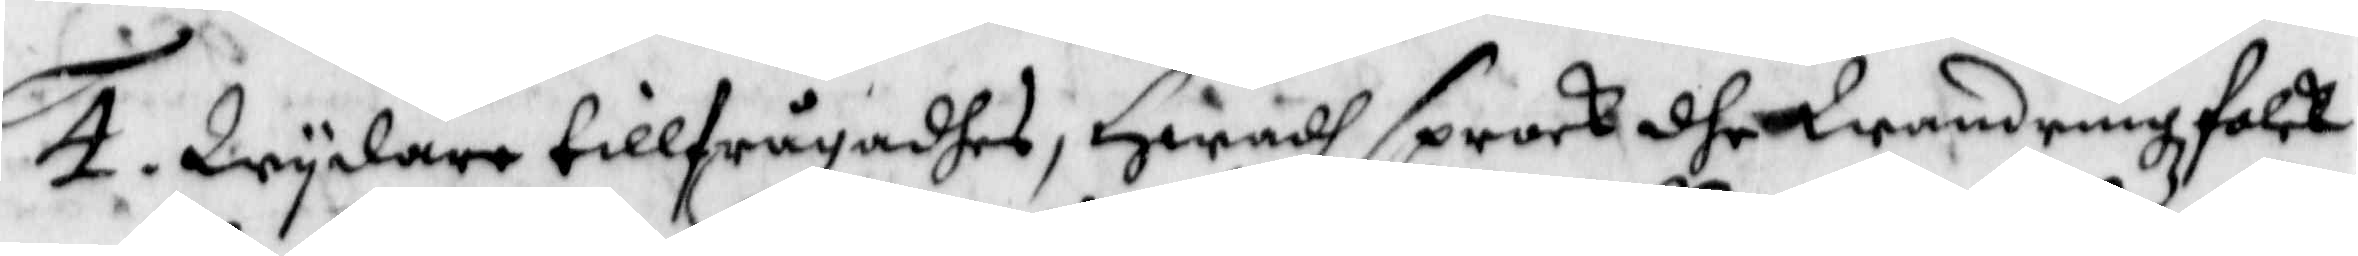4. Wydare tillfrågadhes, Hwadh sprock dhet Wandringszfolck
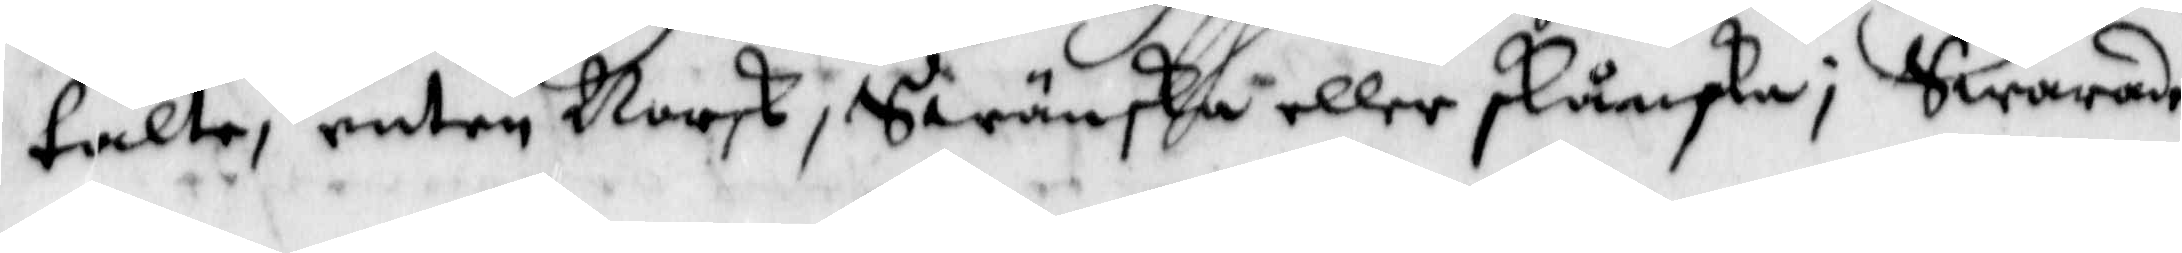talte, enten Norsk, Swänska eller skånska, Swarande
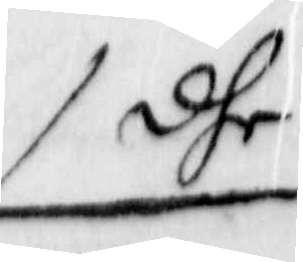dhe
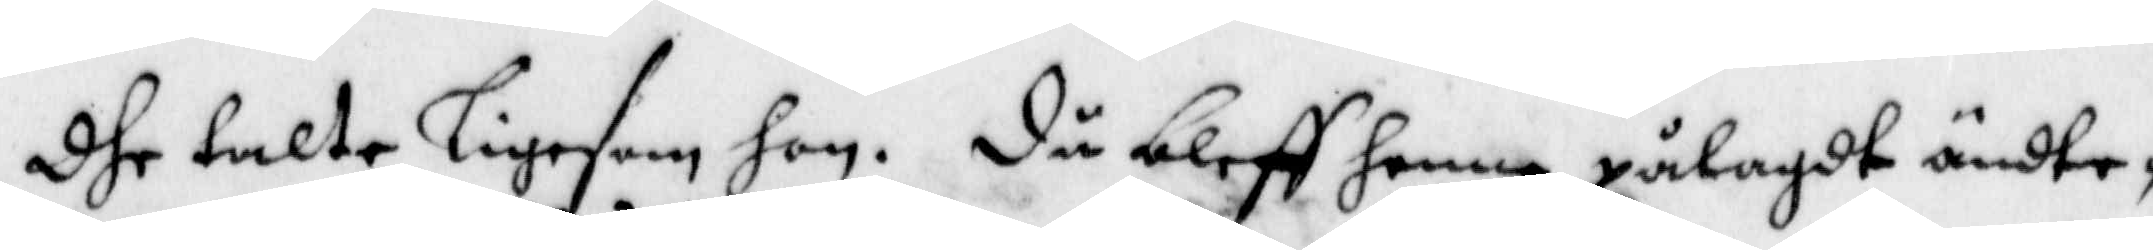dhe talte ligesom hon. Då bleff henne pålagdt ändte¬
